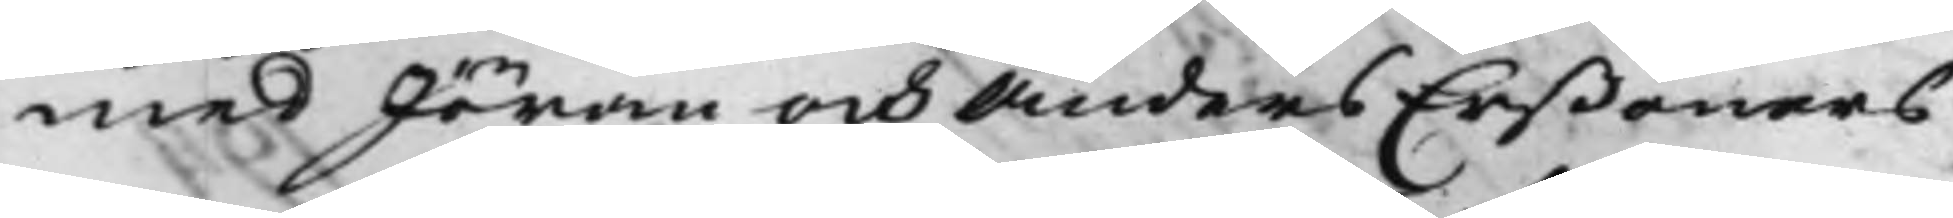med Jöran och Anders Erßöners
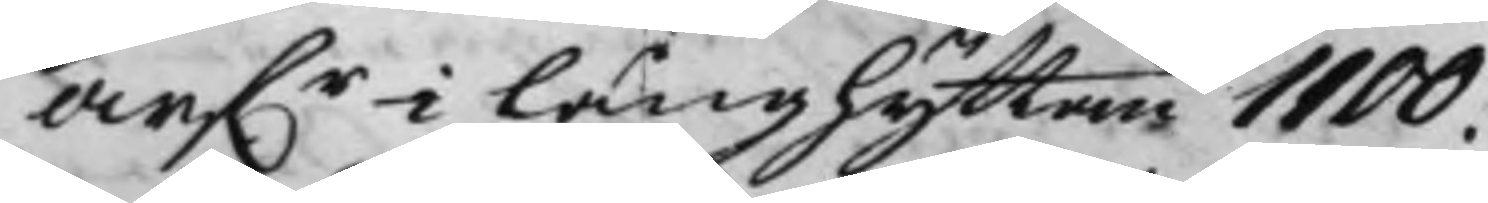arf.r i Långshyttan 1100.
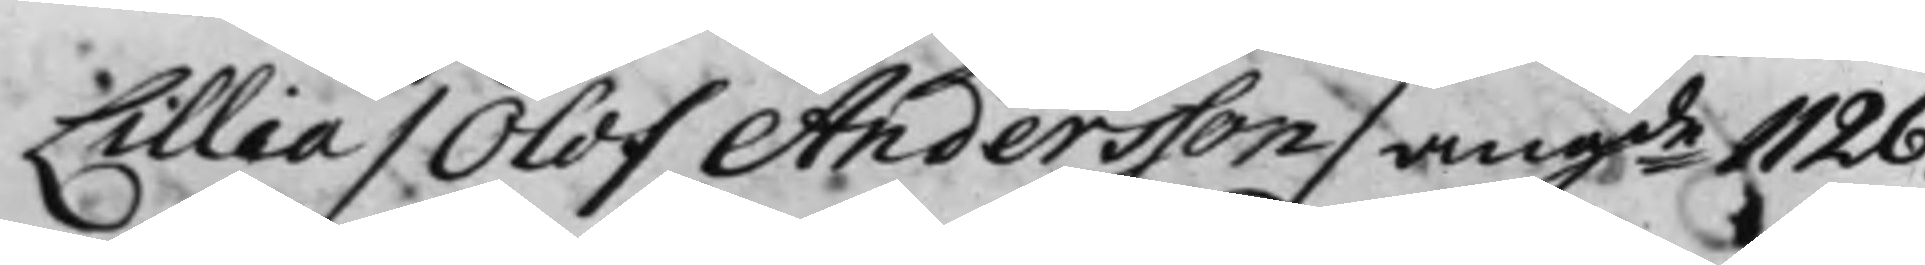Lillia / Olof Andersson / angde 1126.
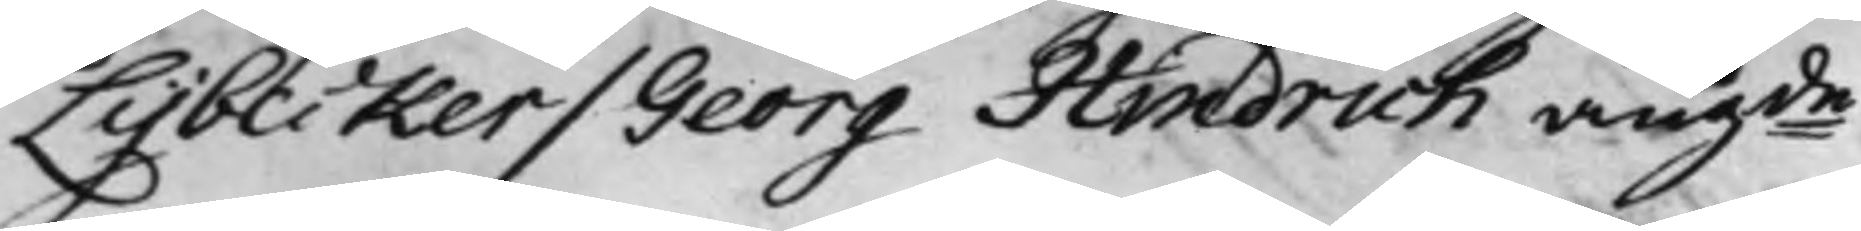Lybecker / Georg Hindrich angde
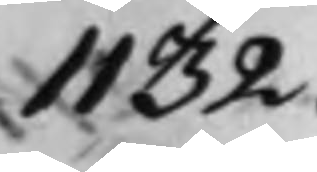1132.
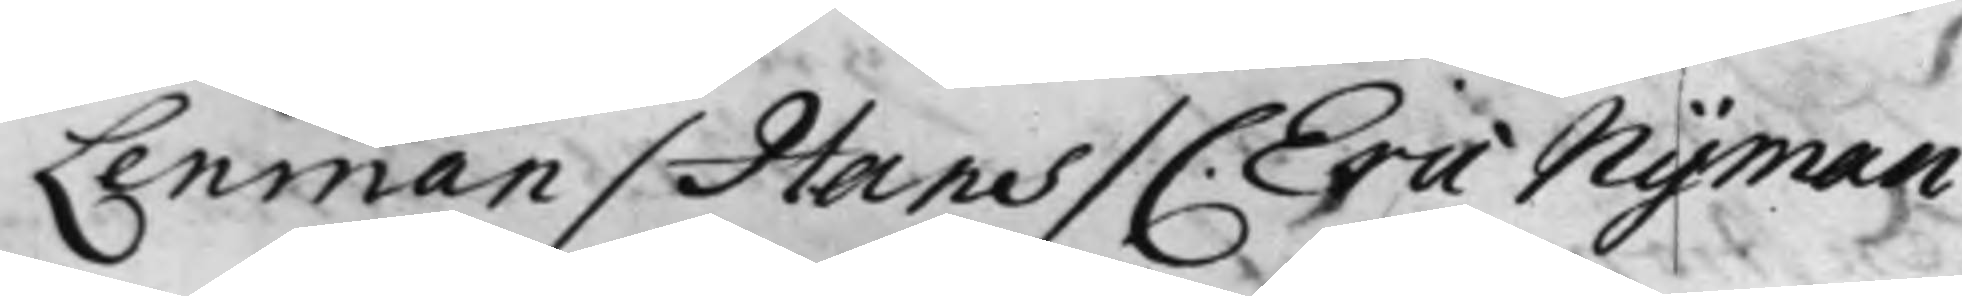Lenman / Hans / C. Eric Nyman
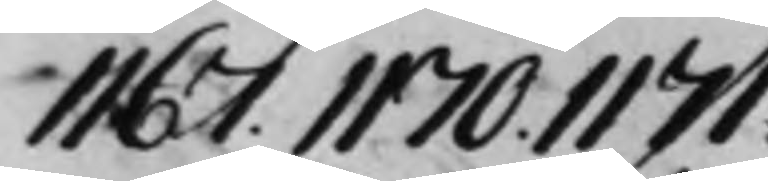1167. 1170. 1171.
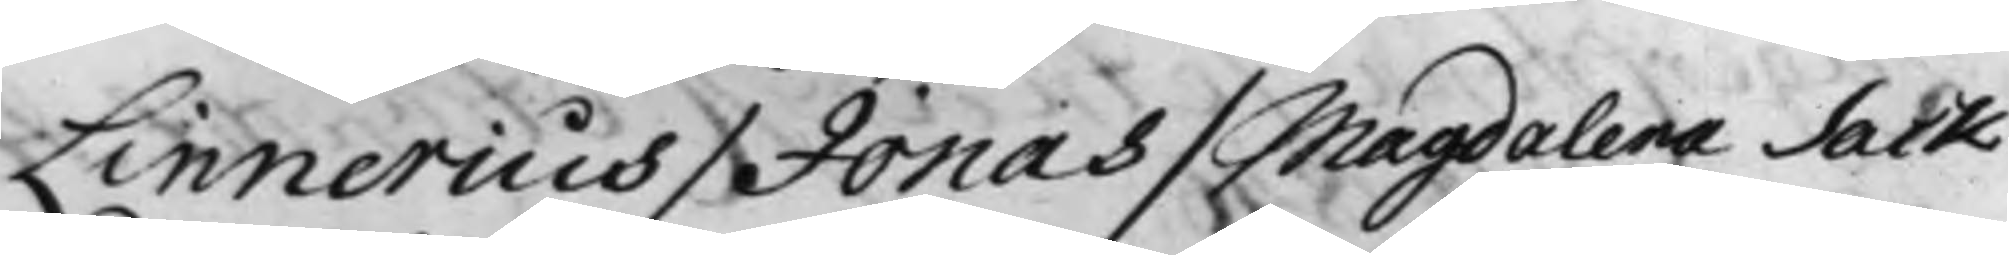Linnerius / Jonas / Magdalena Sack
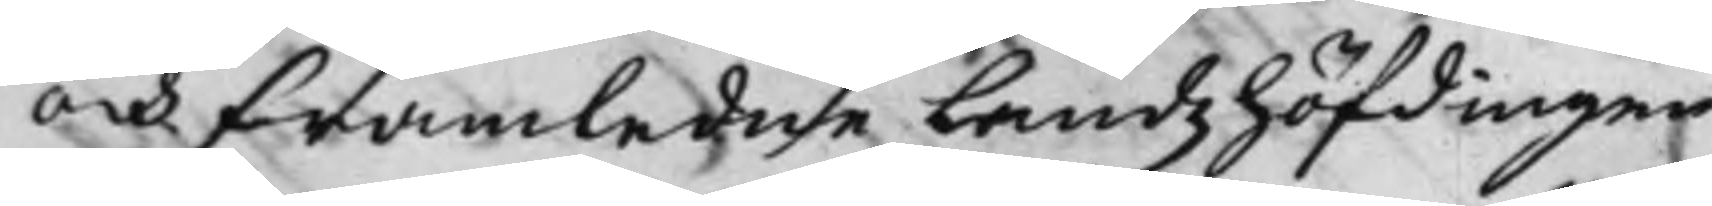och framledne Landzhöfdingen
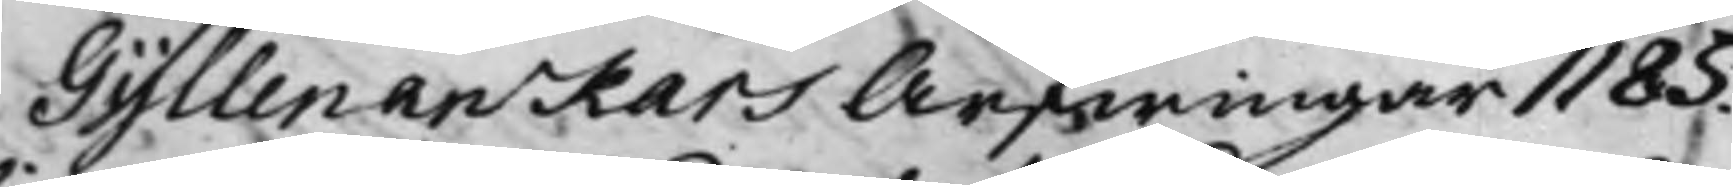Gyllenanckars Arfwingar 1185.
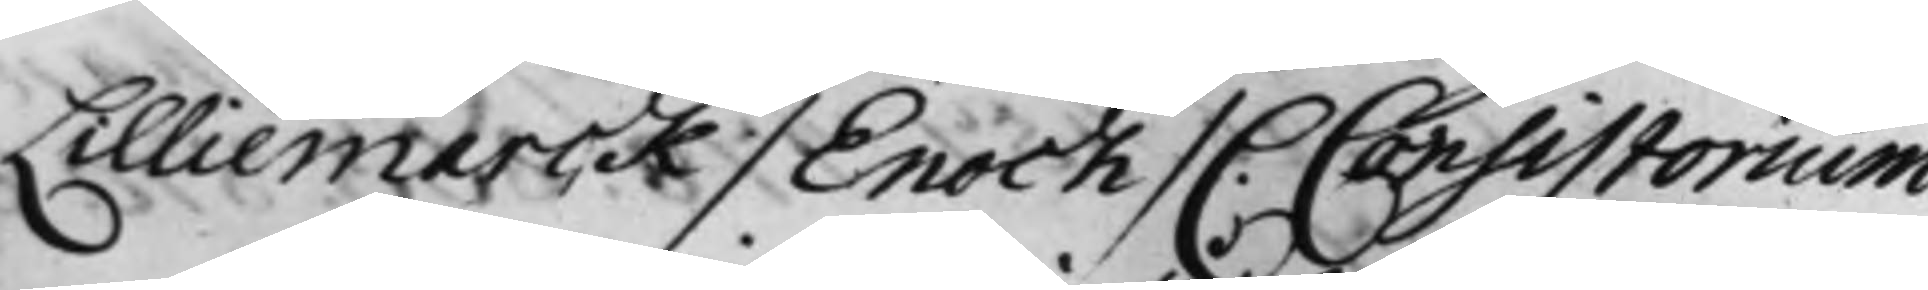Lilliemarck / Enock / C. Consistorium
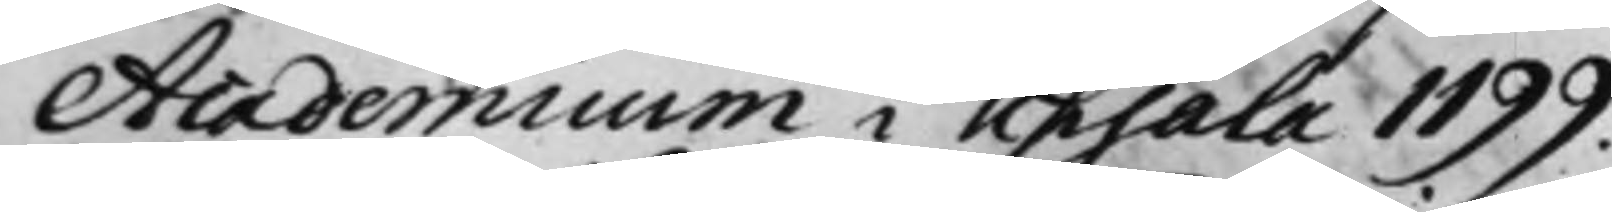Academicum i Upsala 1199.
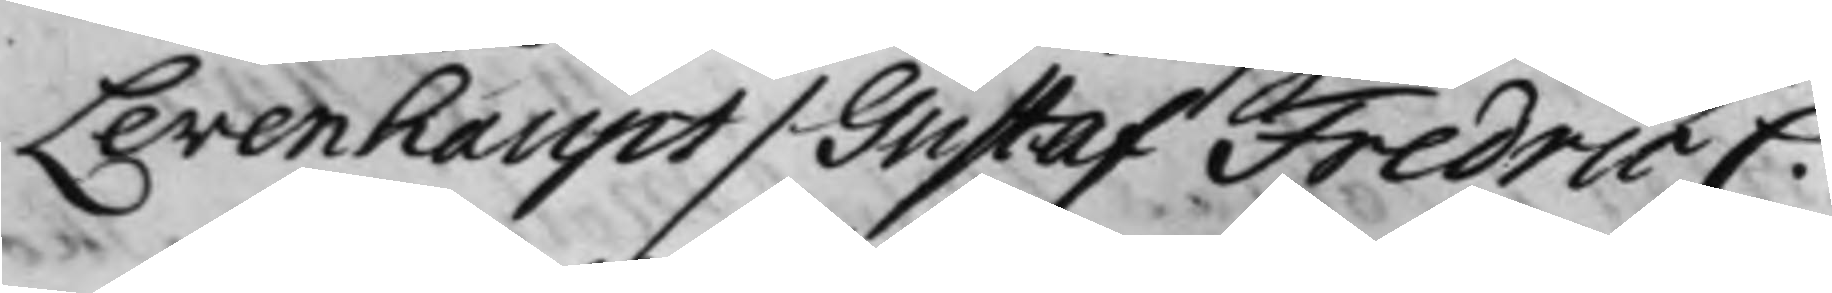Levenhaupt / Gustaf Fredric C.
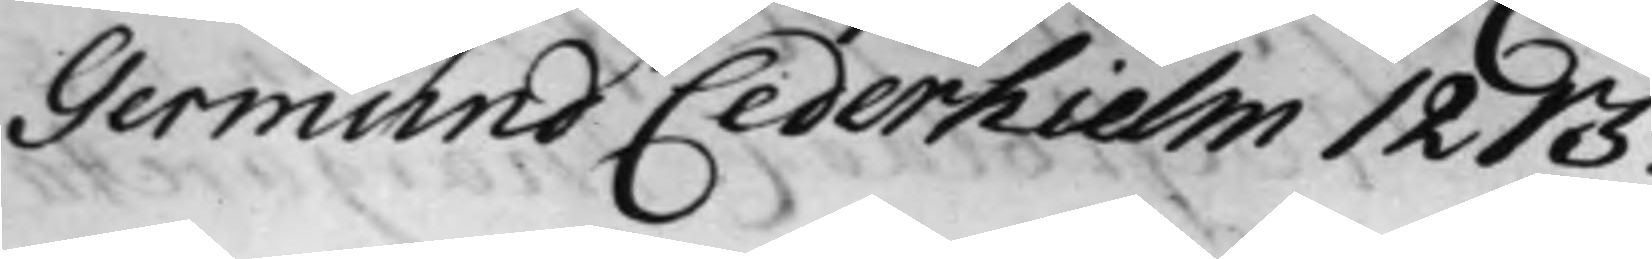Germund Cederhielm 1213.
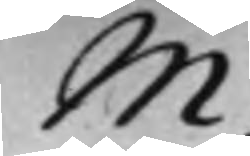M.
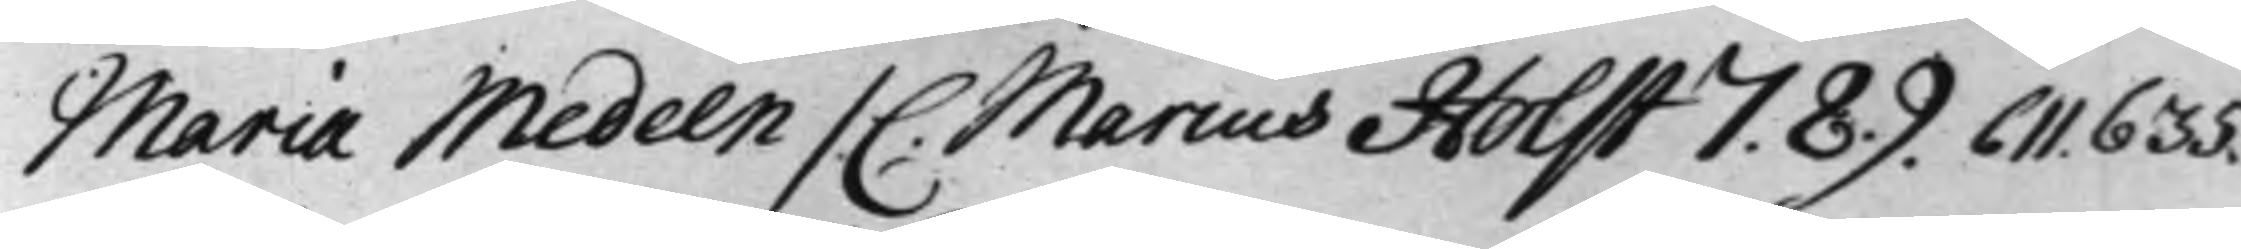Maria Medeen / C. Marcus Holst 7. 8. 9. 611. 635.
